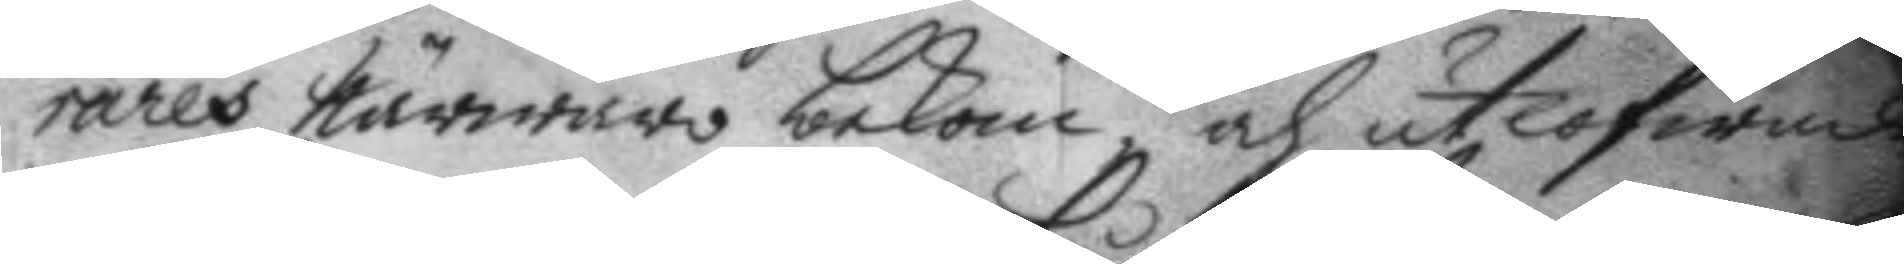rares närwaro bekom och utlofwades
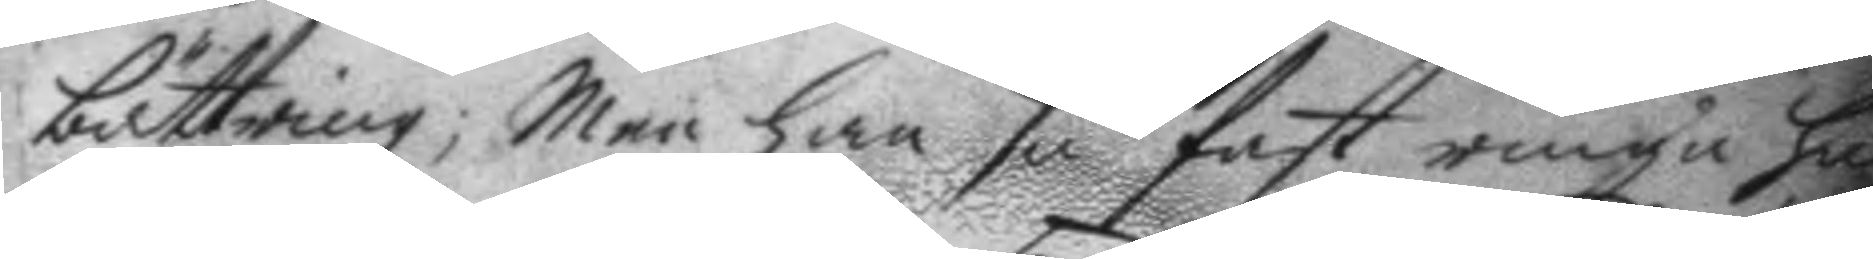bättring; men han så fast ringa hu
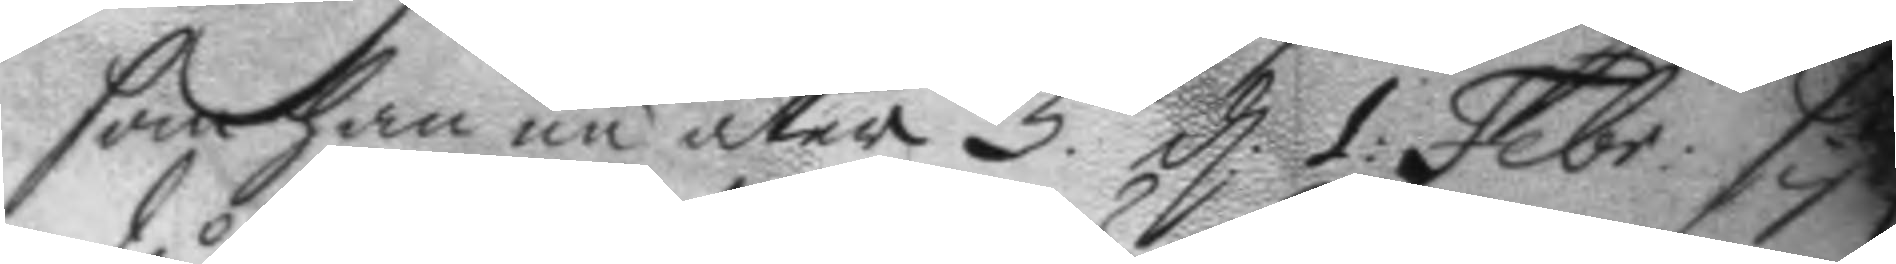som han nu åter 5. d: 1 Febr: sistl.
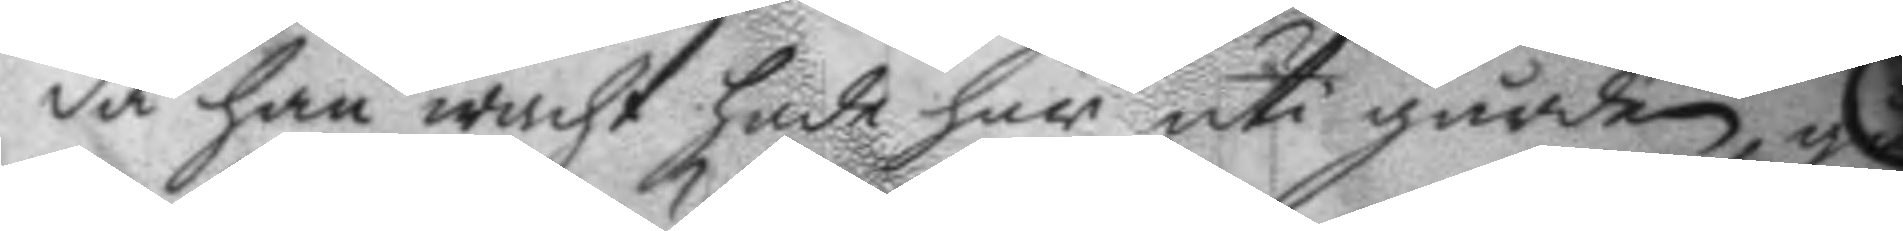då han wacht hade här uti gården gå
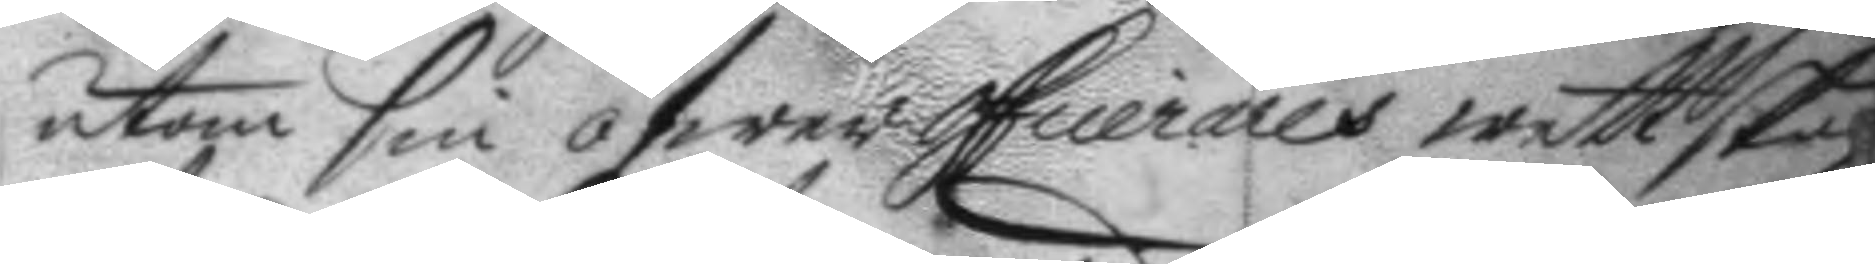utom sin öfwerofficerares wettskap
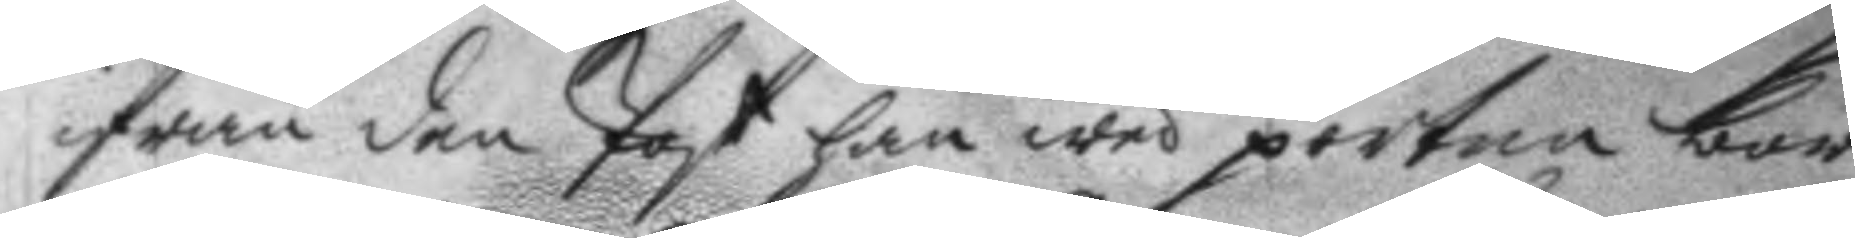ifrån den Post han wed porten bor
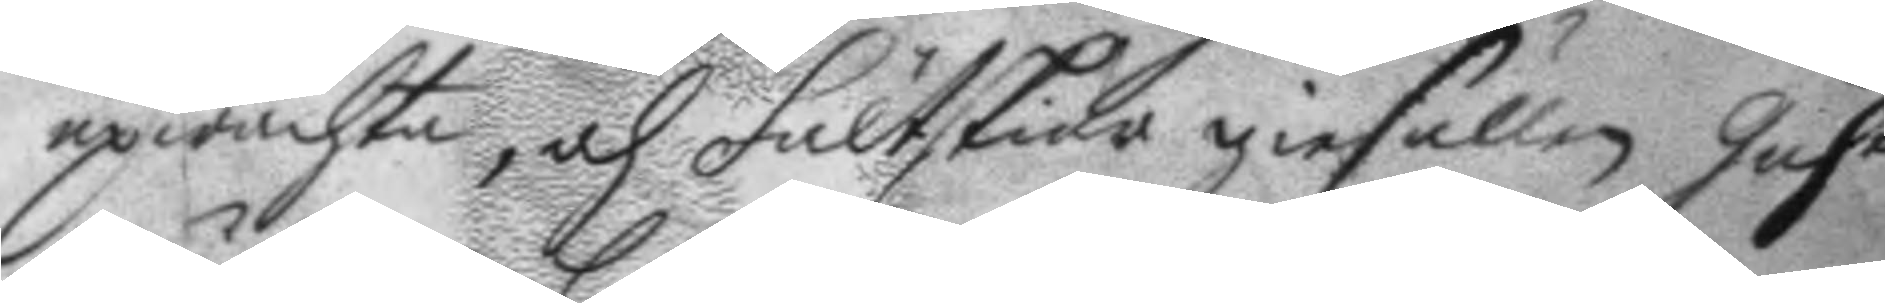upwachta, och fältskier giesällen, gusta
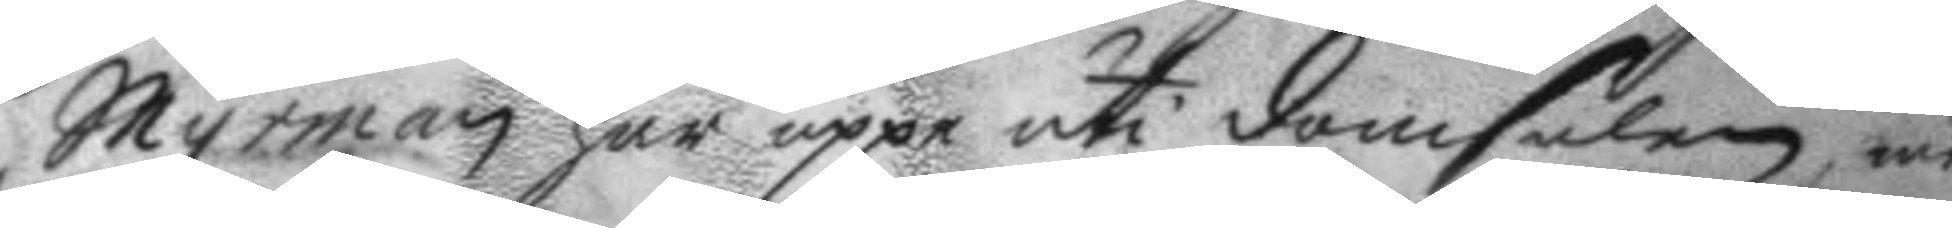Myrman här uppå uti domstolen me
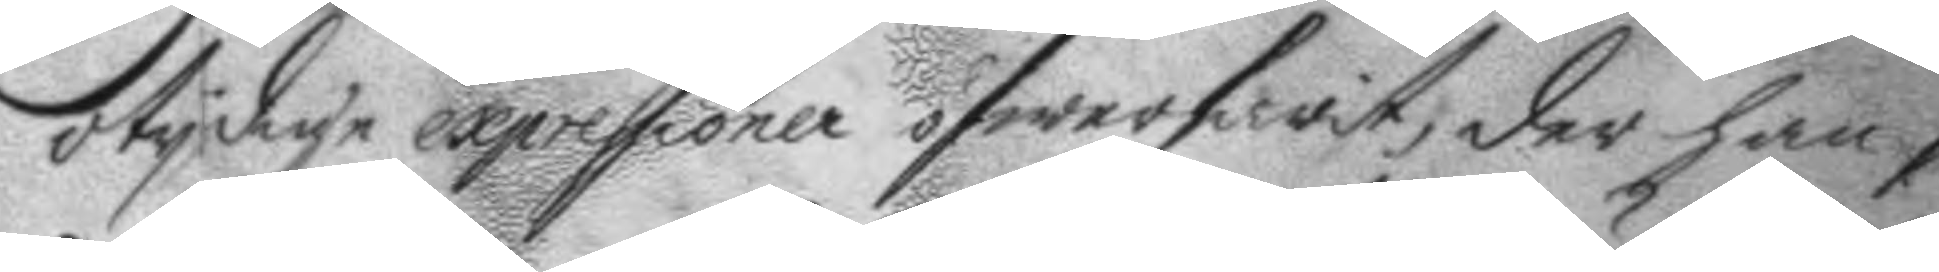otydige expressioner öfwerfarit, der han s
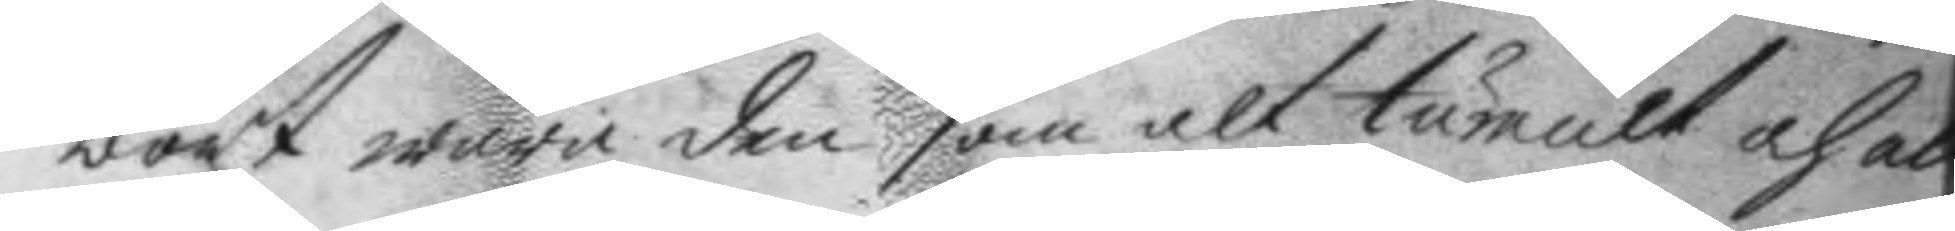bort wara den som alt tumult och ab
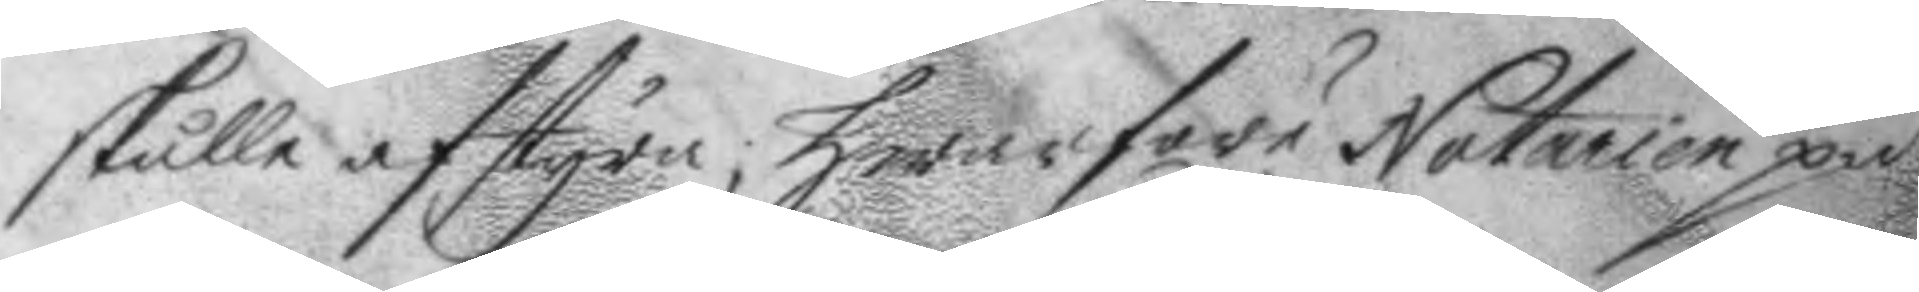skulle afstyra; hwarföre Notarien på¬
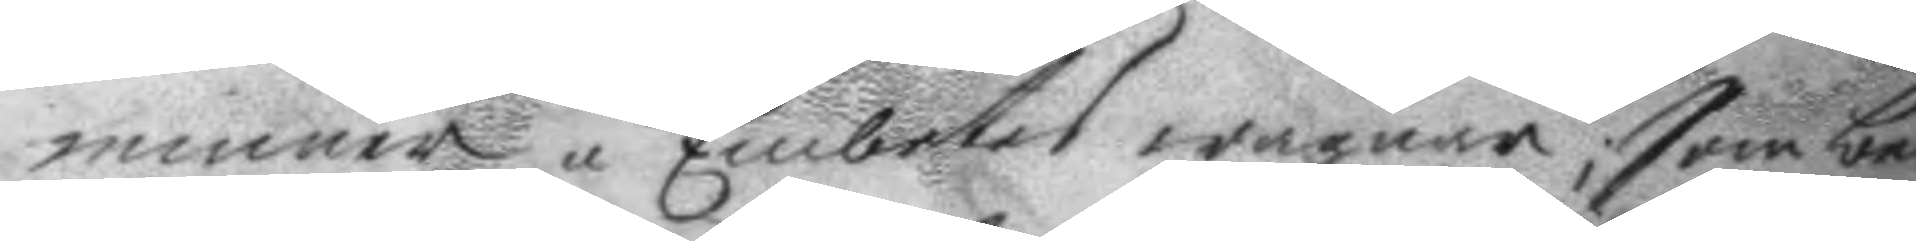minner å Embetes wägnar; som be
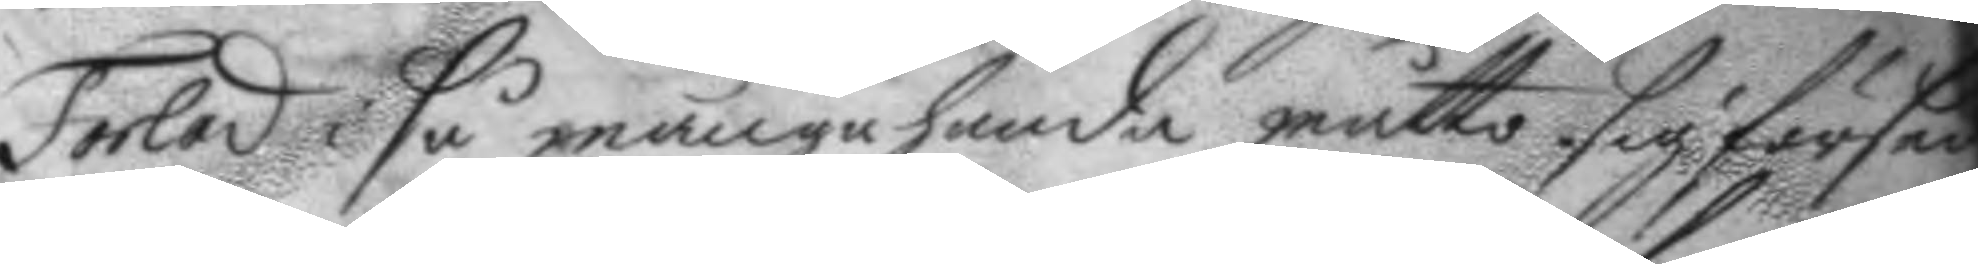Forlad i så många handa måtto sig förse
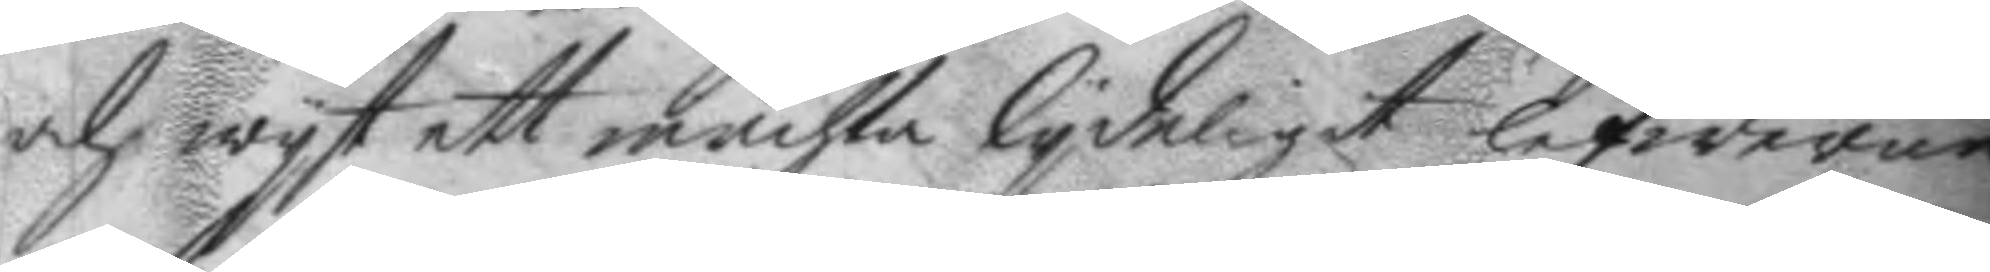och wyt att mächta lydeligit lefwerne
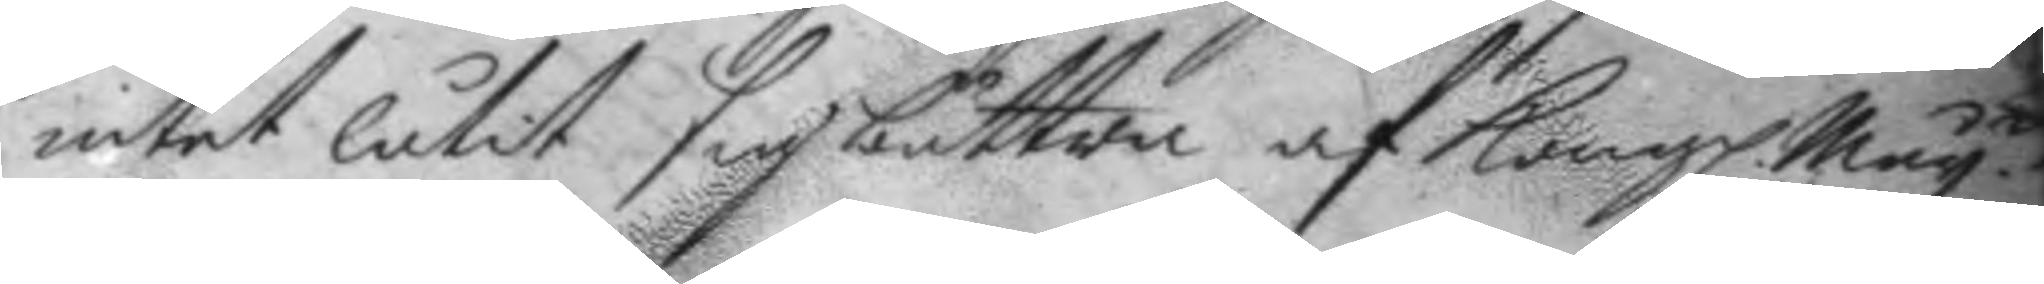intet låtit sig bättra af Kongl. May.tt
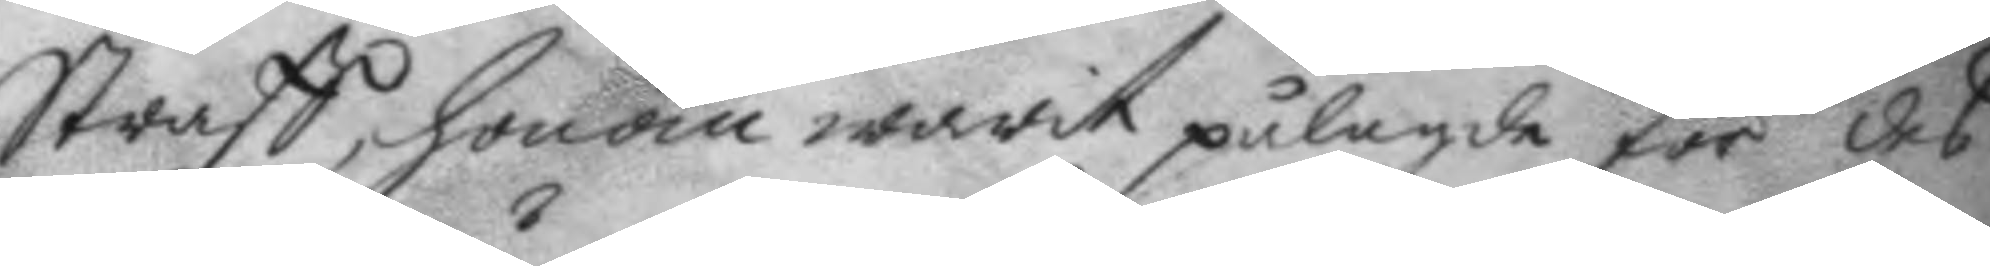Straff, honom warit pålagde för des
